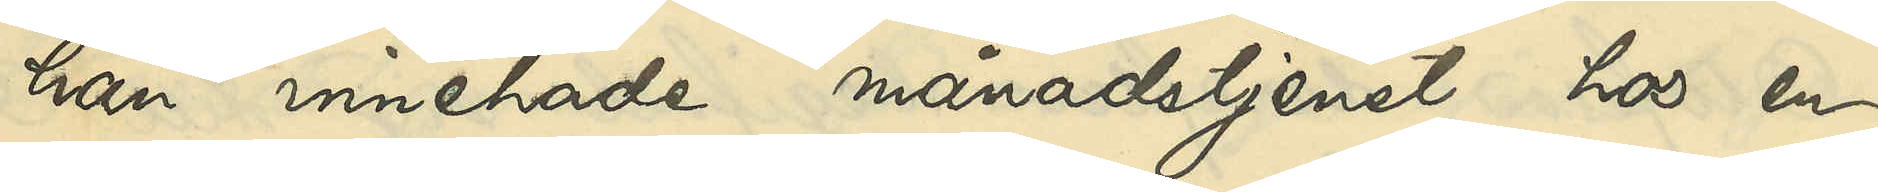han innehade månadstjenst hos en
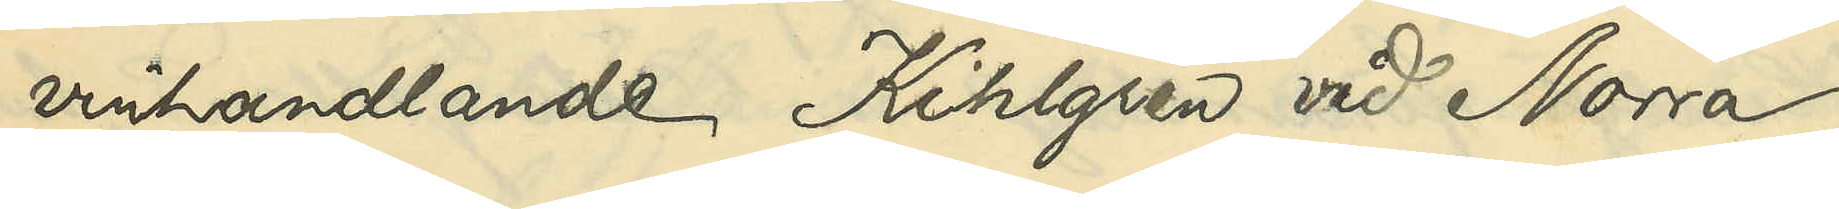vinhandlande Kihlgren vid Norra
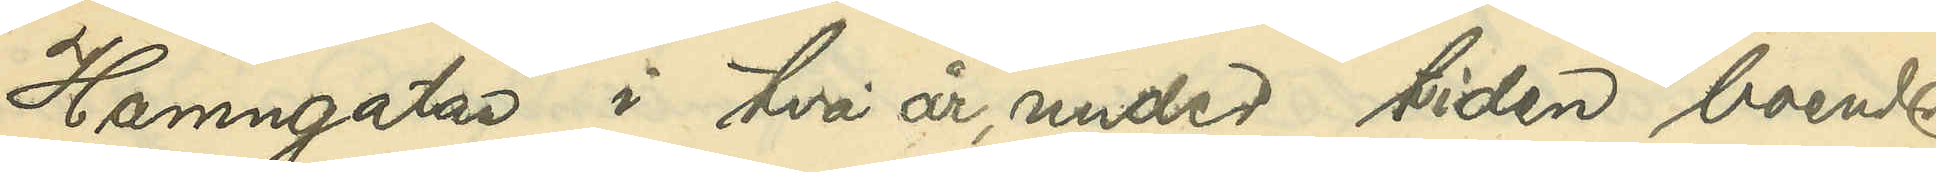Hamngatan i två år, under tiden boende
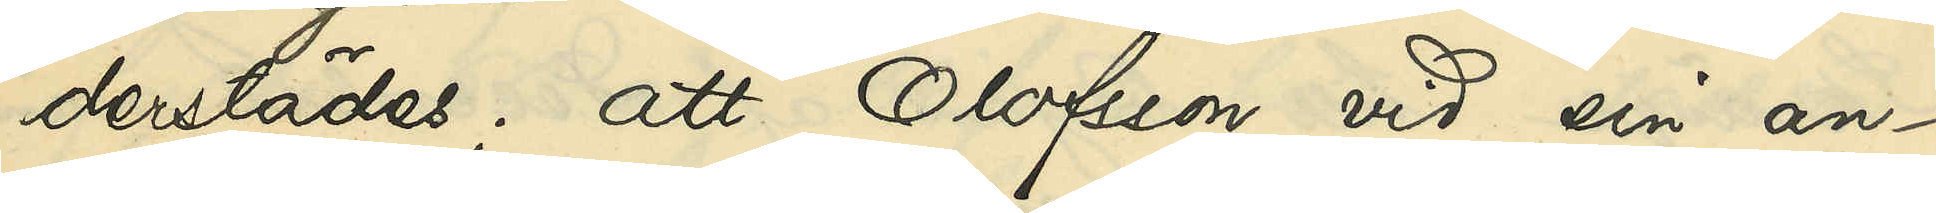derstädes; att Olofsson vid sin an¬
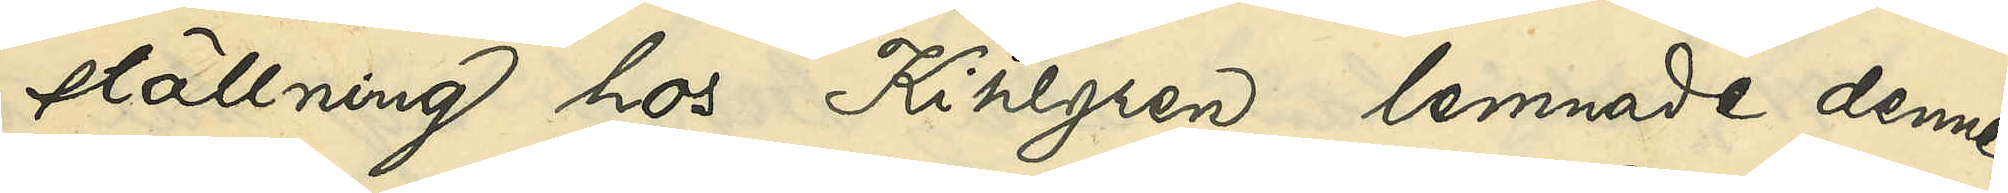ställning hos Kihlgren lemnade denne
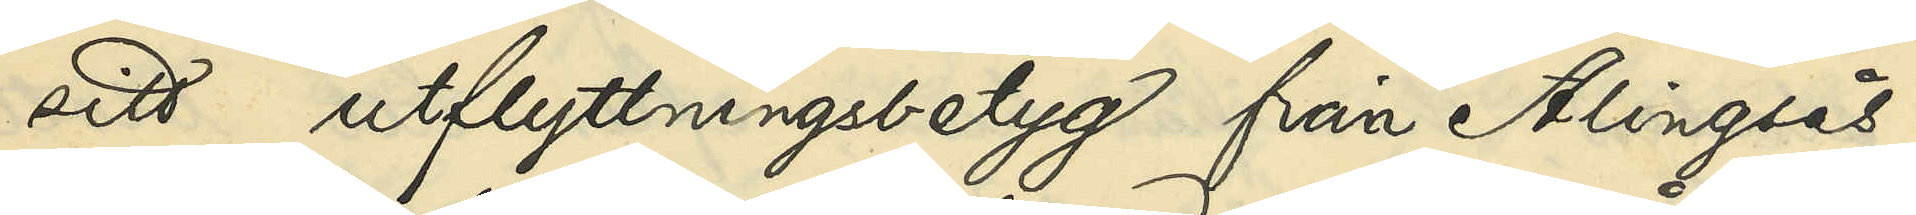sitt utflyttningsbetyg från Alingsås,
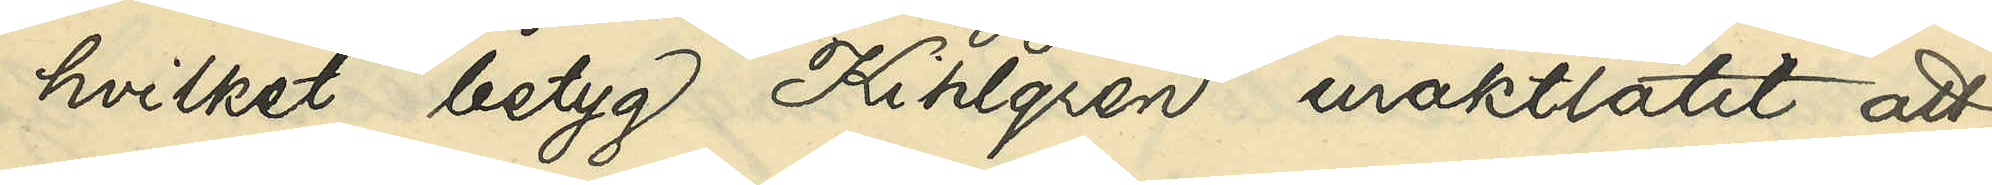hvilket betyg Kihlgren uraktlåtit att
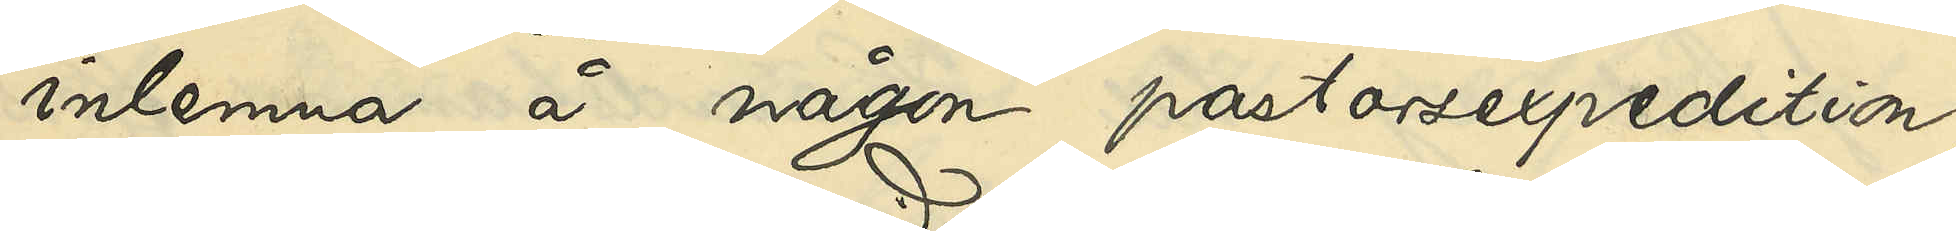inlemna å någon pastorsexpedition
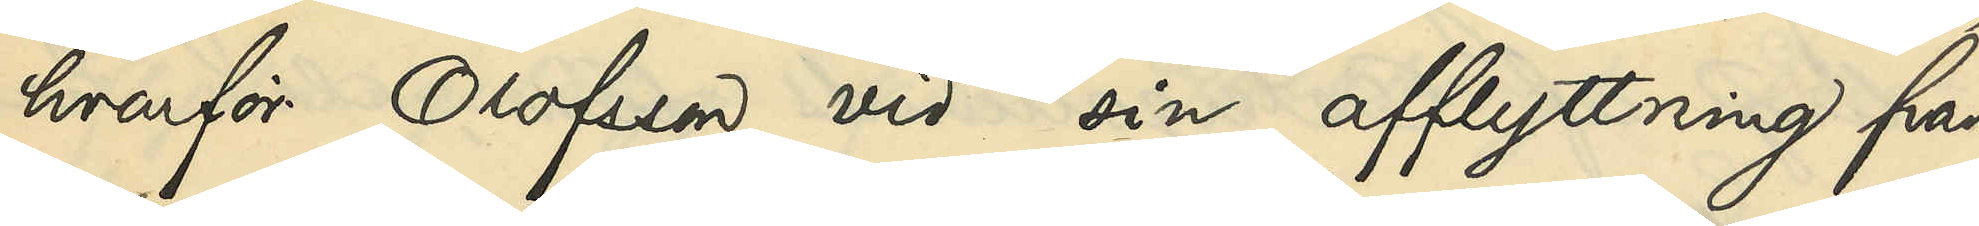hvarför Olofsson vid sin afflyttning från
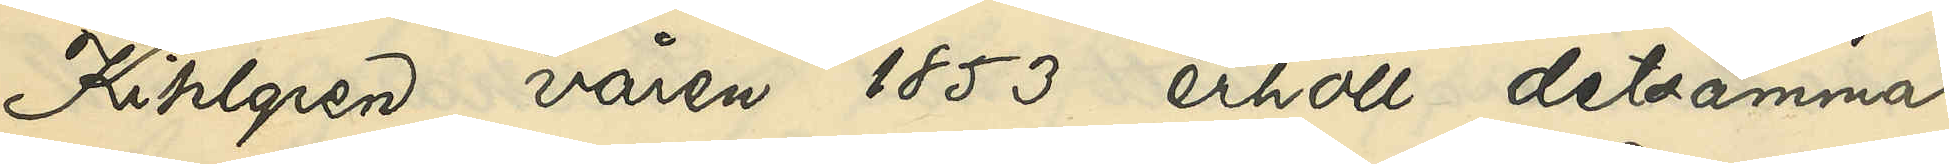Kihlgren våren 1853 erhöll detsamma
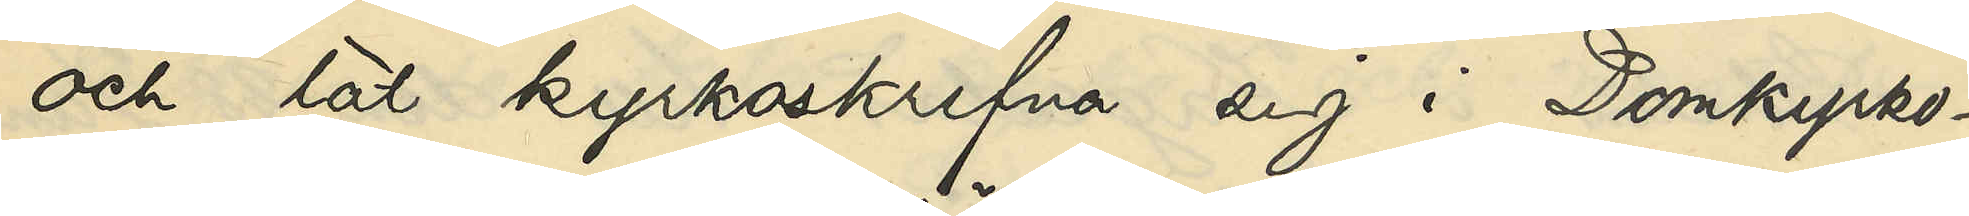och lät kyrkoskrifva sig i Domkyrko¬
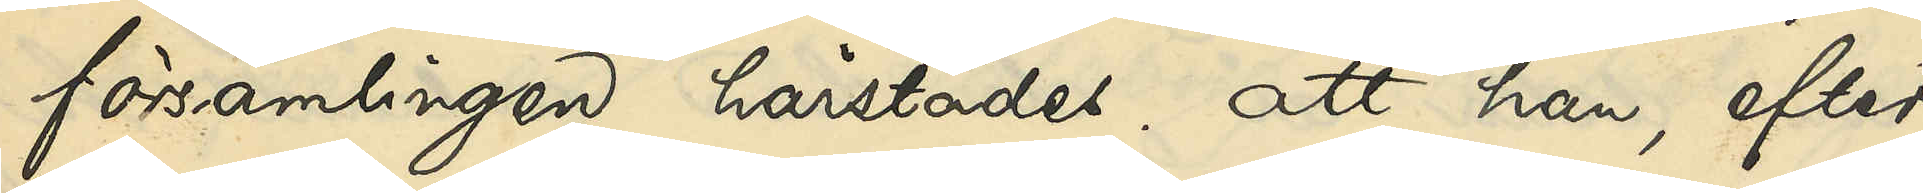församlingen härstädes; att han, efter
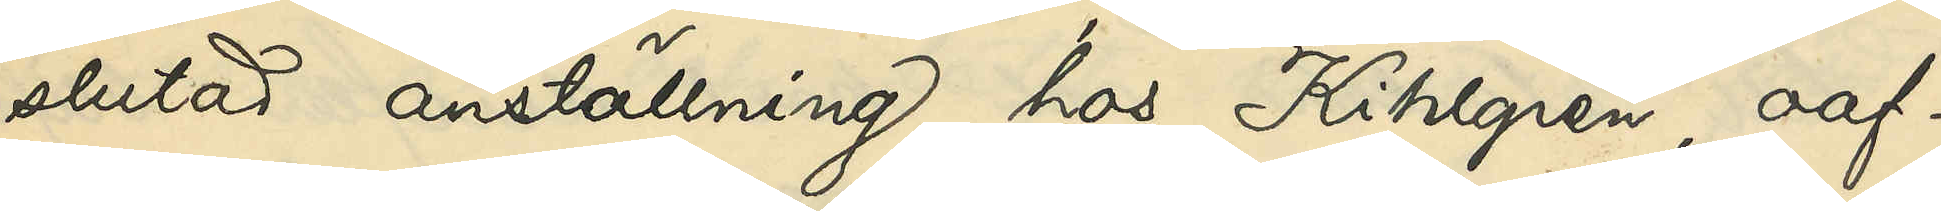slutad anställning hos Kihlgren, oaf¬
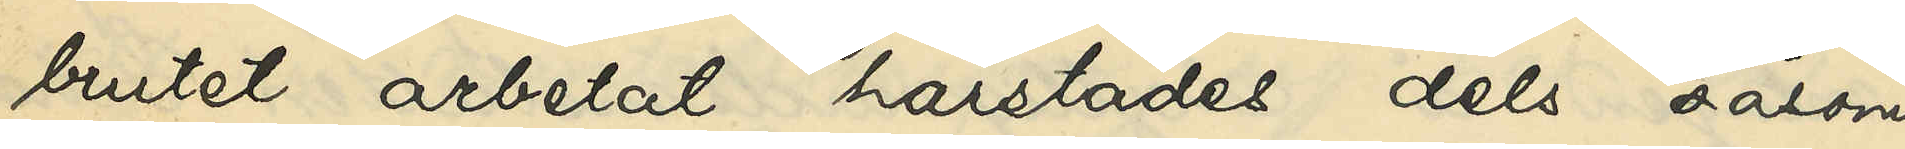brutet arbetat härstädes dels såsom
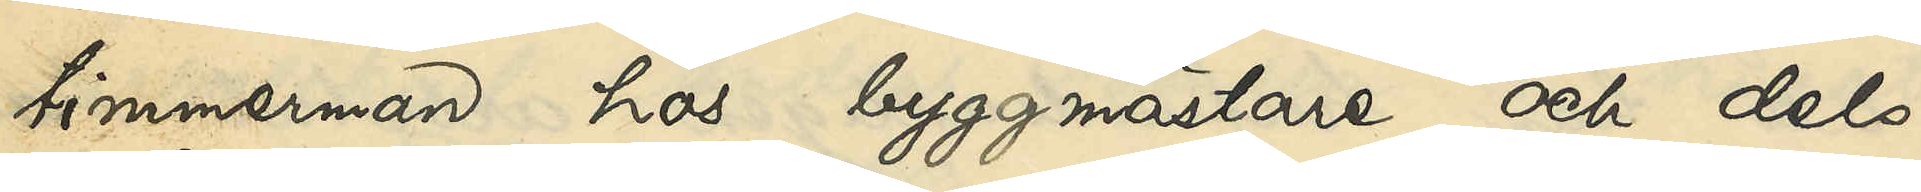timmerman hos byggmästare och dels
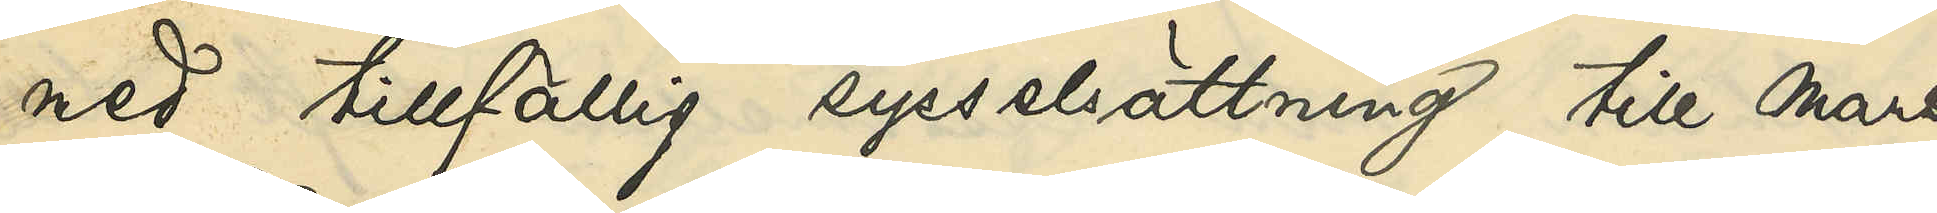med tillfällig sysselsättning till mars
